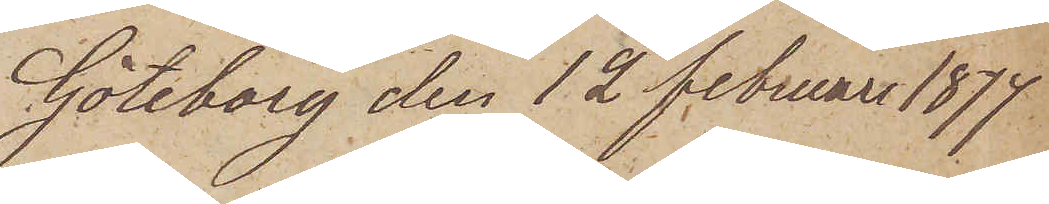Göteborg den 12 Februari 1877
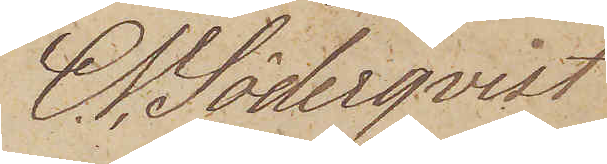C. V. Söderqvist
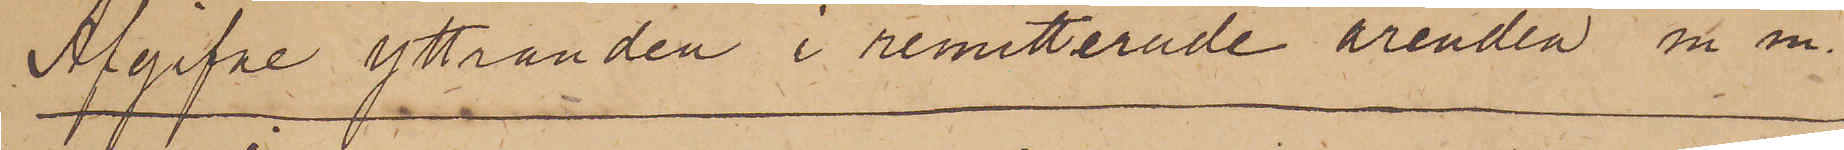Apgifne yttranden i remitterade ärenden m. m.
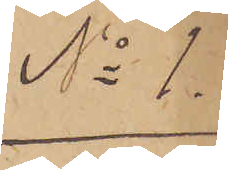No 1.
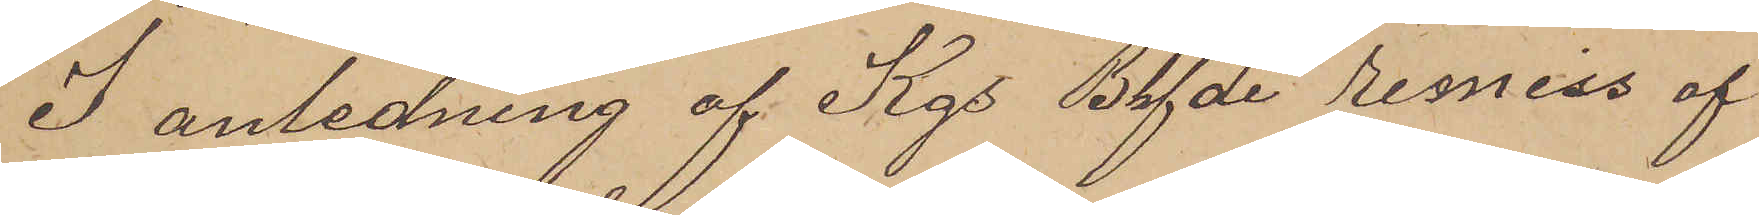I anledning af Kgs Bhfde remiss af
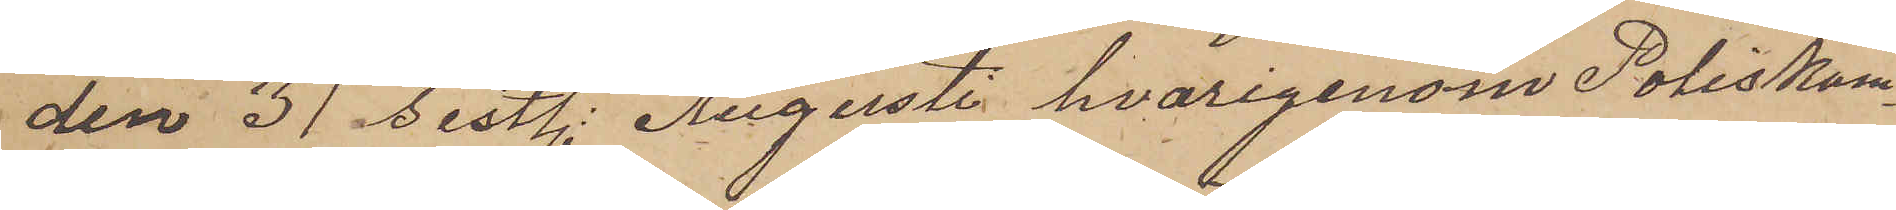den 31 sistl. Augusti hvarigenom Poliskam¬
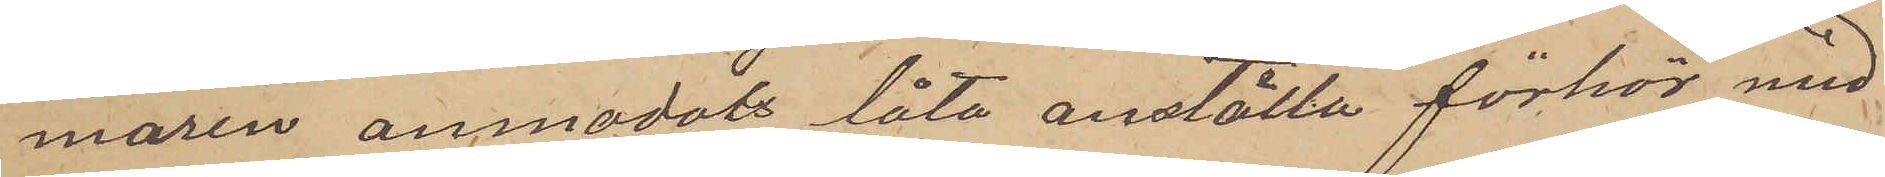maren anmodats låta anställa förhör med
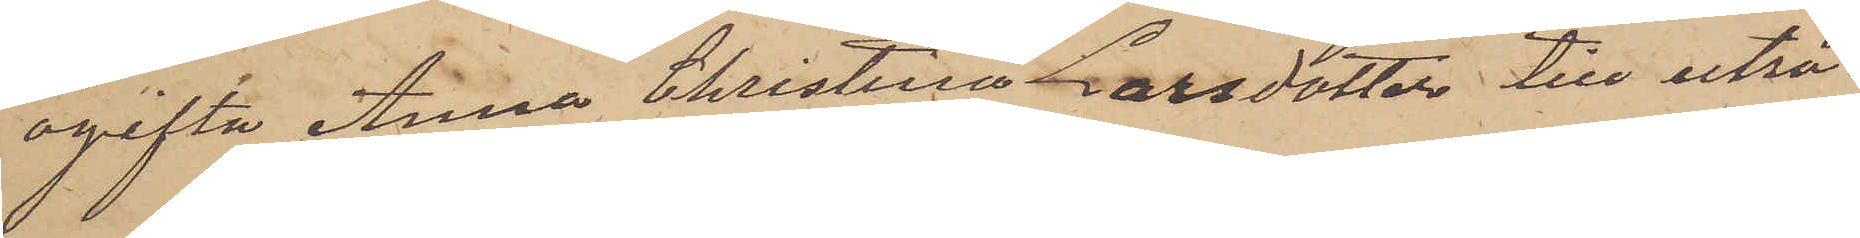ogifta Anna Christina Larsdotter till utrö¬
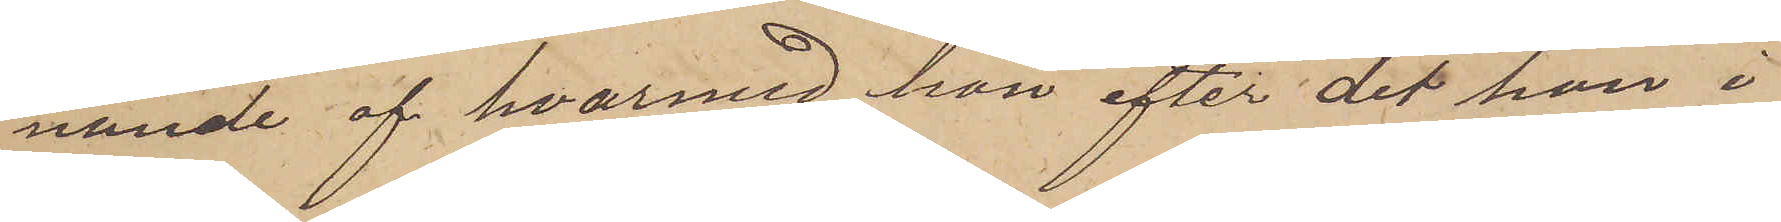nande af hvarmed hon efter det hon i
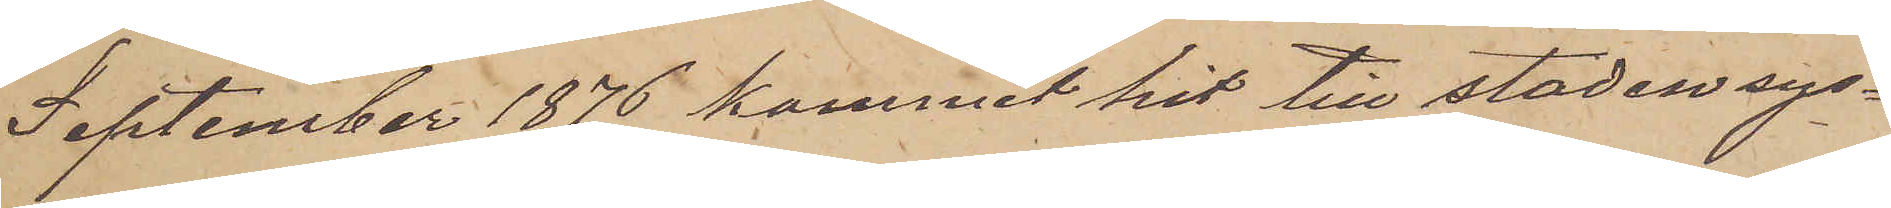September 1876 kommit hit till staden sys¬
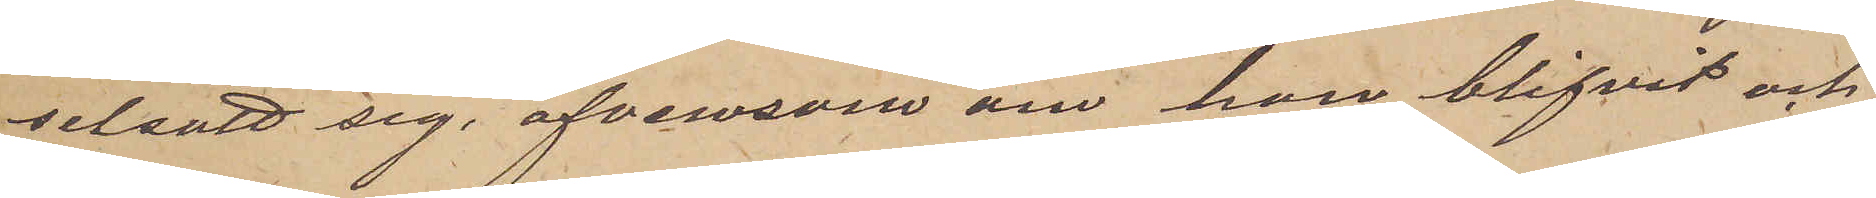selsatt sig, äfvensom om hon blifvit och
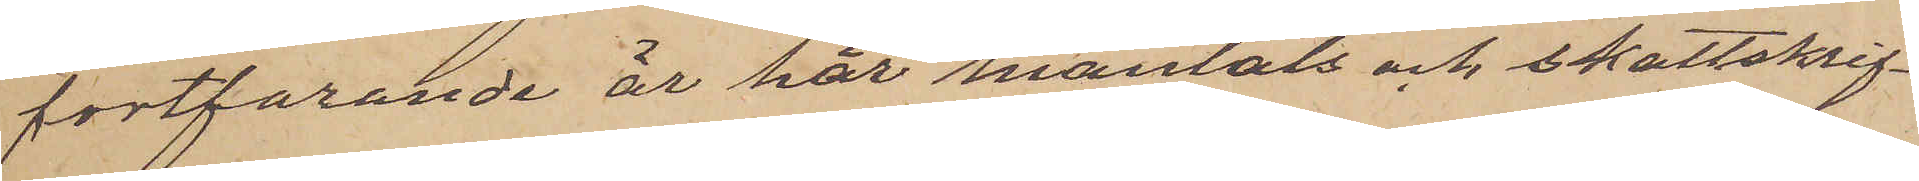fortfarande år har mantals och skattskrif¬
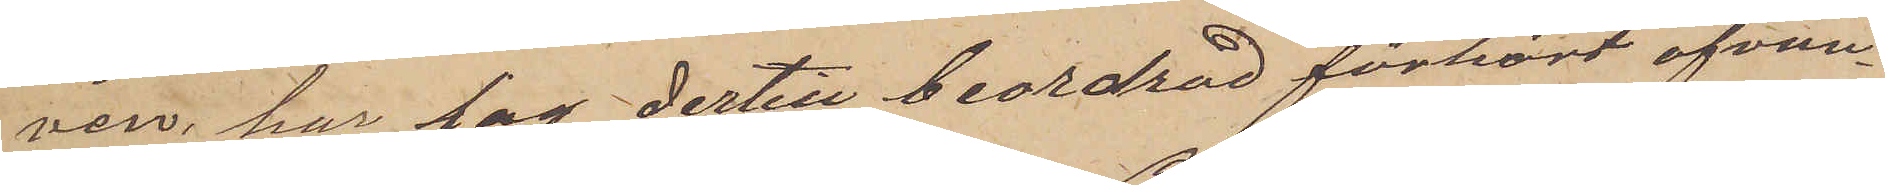ven, har jag dertill beordrad förhört ofvan¬
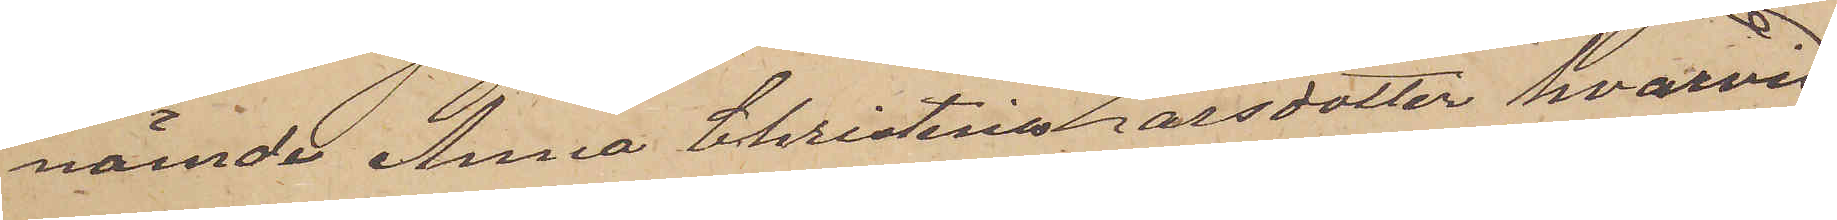nämde Anna Christina Larsdotter, hvarvid
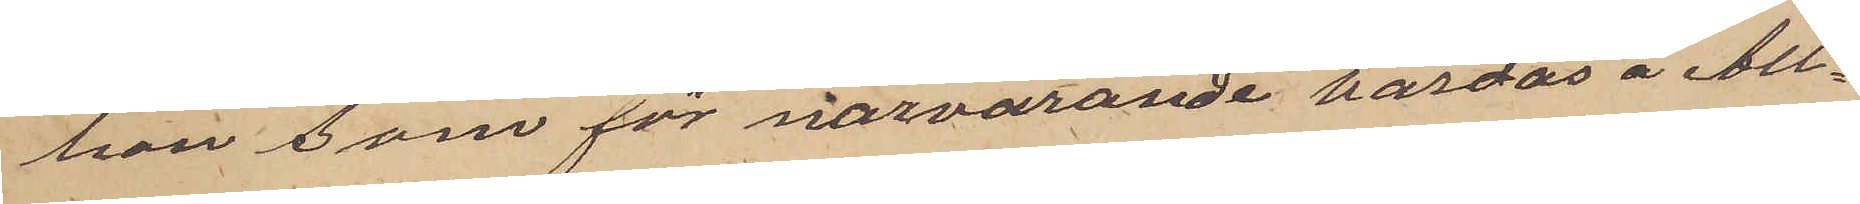hon som för närvarande vårdas å All¬
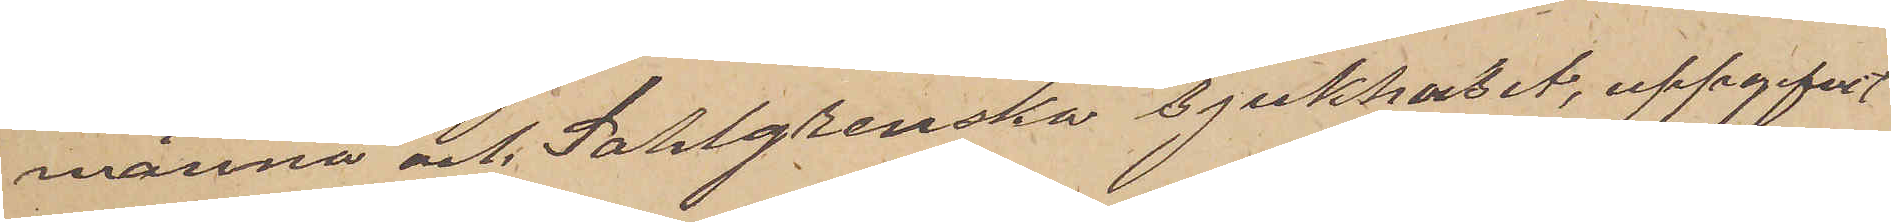männa och Sahlgrenska sjukhuset, uppgifvit
